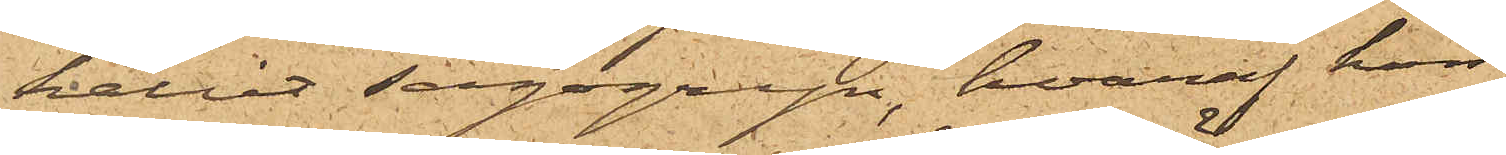hållit sagogryn, hvaraf hon
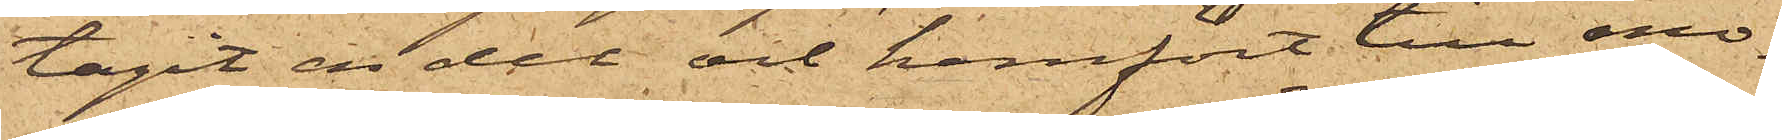tagit en del och hemfört till mo¬
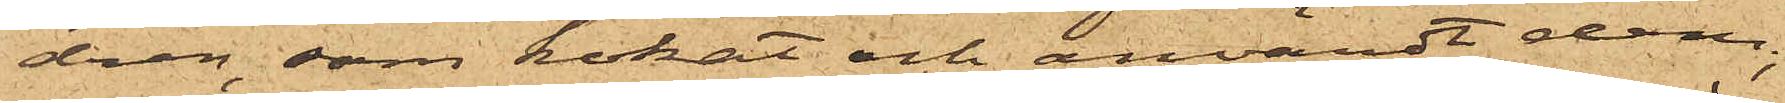dren, som kokat och användt dem;
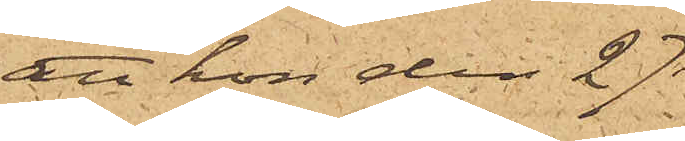att hon den 27
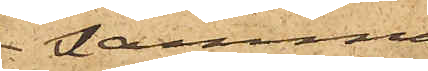samma
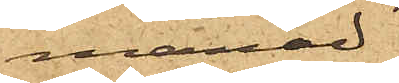månad
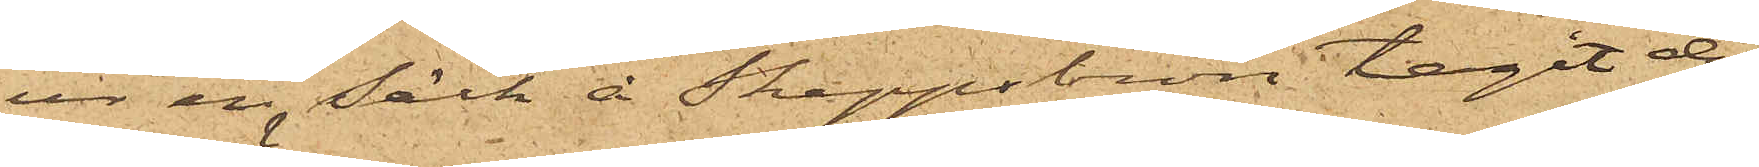ur en säck å Skeppsbron tagit de
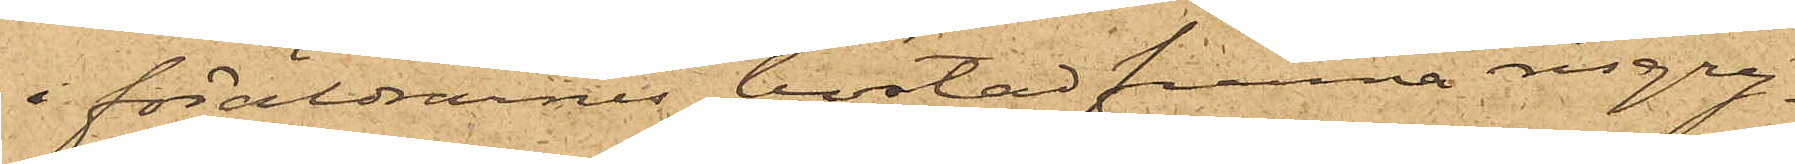i föräldrarnes bostad funna risgry¬
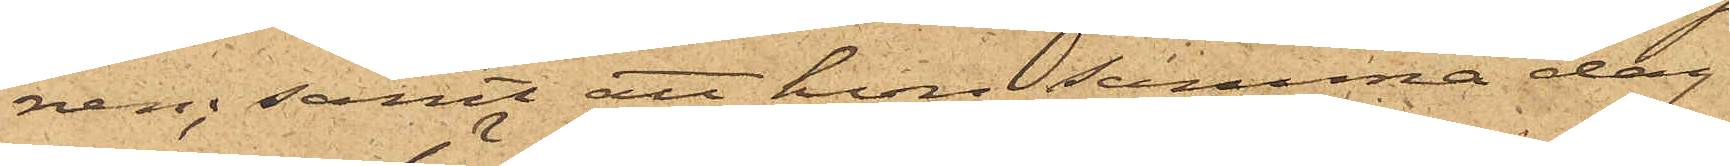nen; samt att hon samma dag
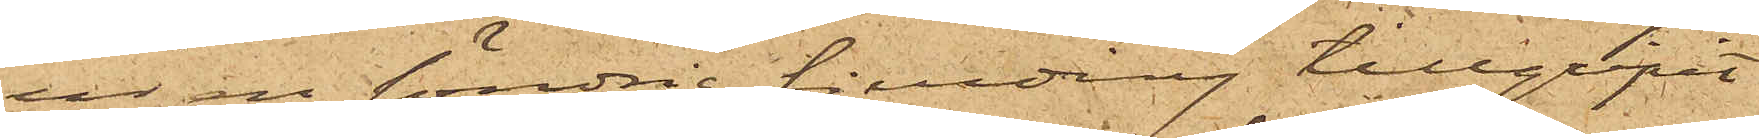ur en söndrig fjerding tillgripit
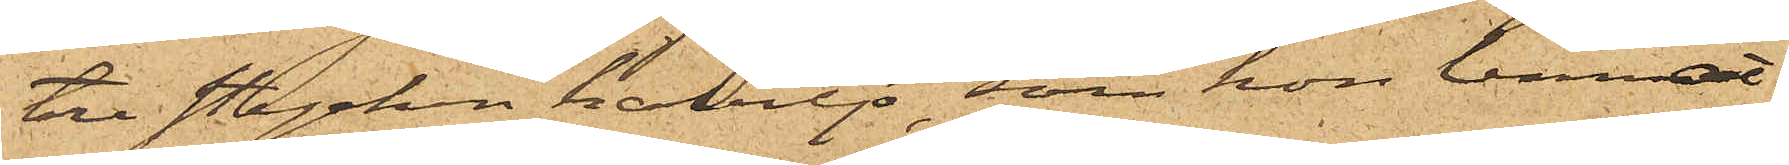tre stycken kabiljo, som hon lemnat
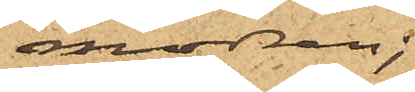modren;
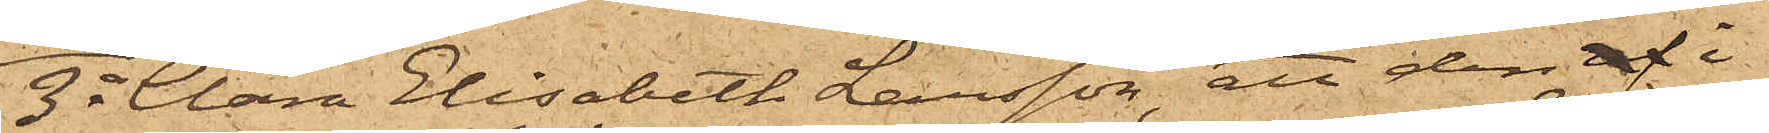3o Clara Elisabeth Larsson, att den af i
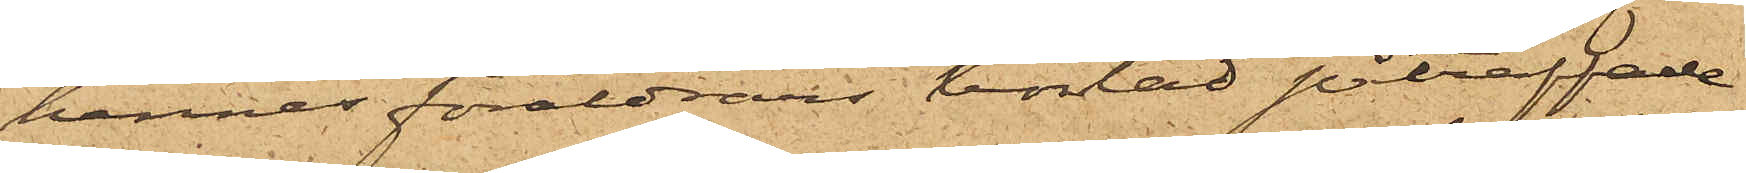hennes föräldrars bostad påträffade
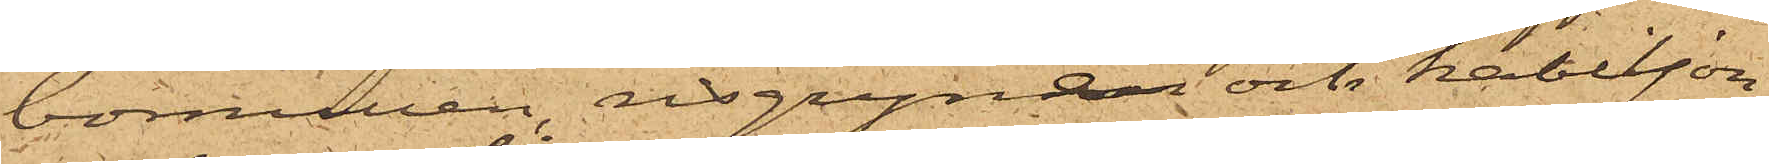bomullen, risgrynen och kabiljon
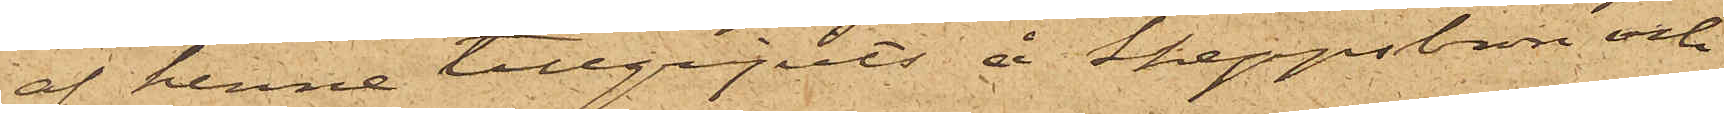af henne tillgripits å Skeppsbron och
